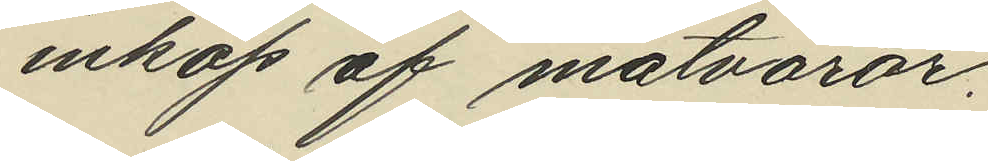inköp af matvaror,
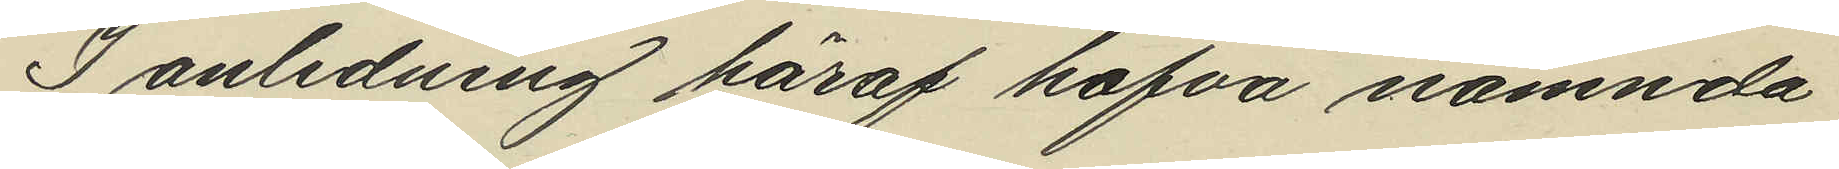I anledning häraf hafva nämnda
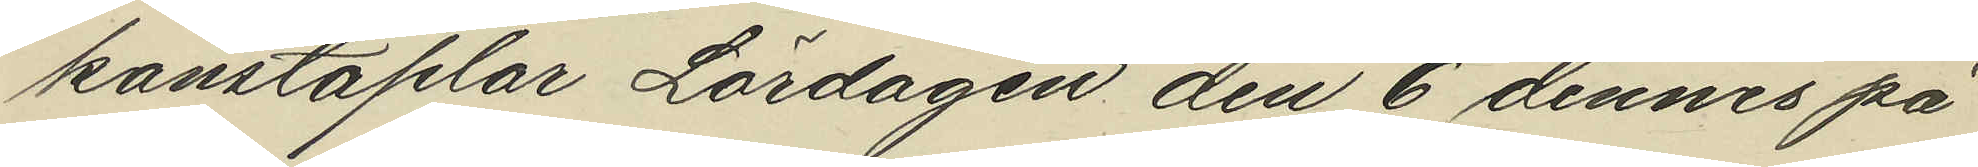konstaplar Lördagen den 6 dennes på
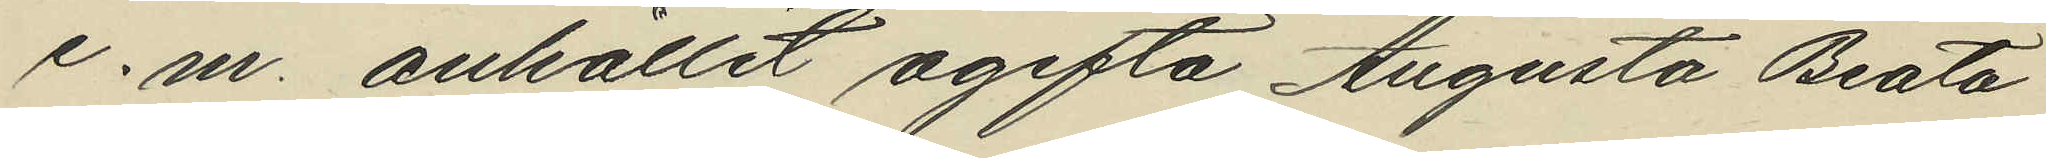e.m. anhållit ogifta Augusta Beata
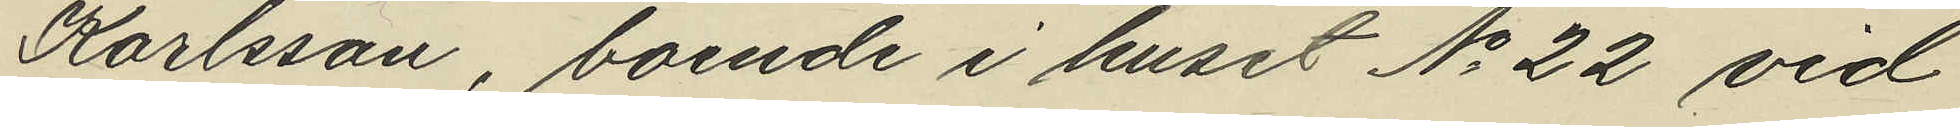Karlsson, boende i huset No 22 vid
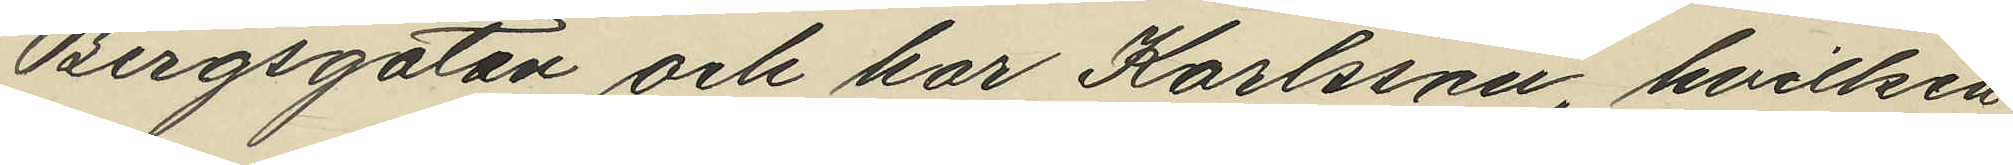Bergsgatan och har Karlsson, hvilken
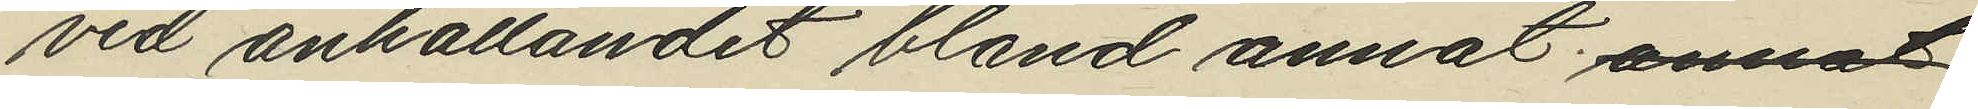vid anhållandet bland annat annat
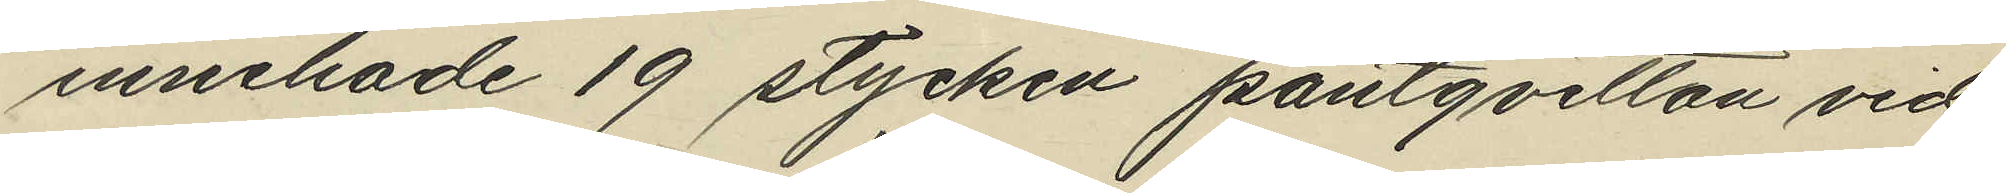innehade 19 stycken pantqvitton vid
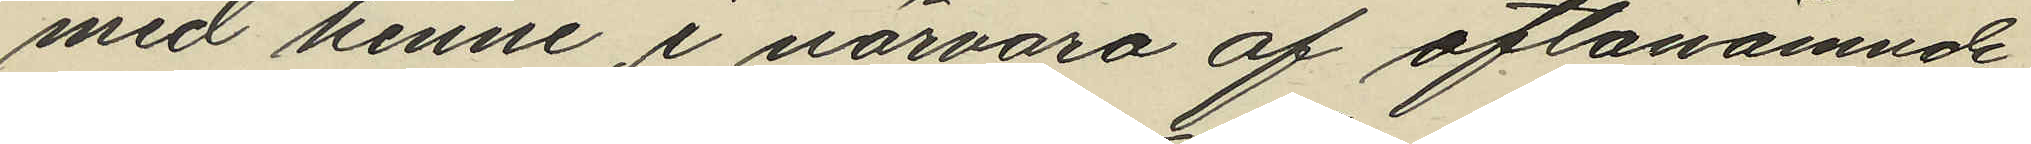med henne, i närvaro af oftanämnde
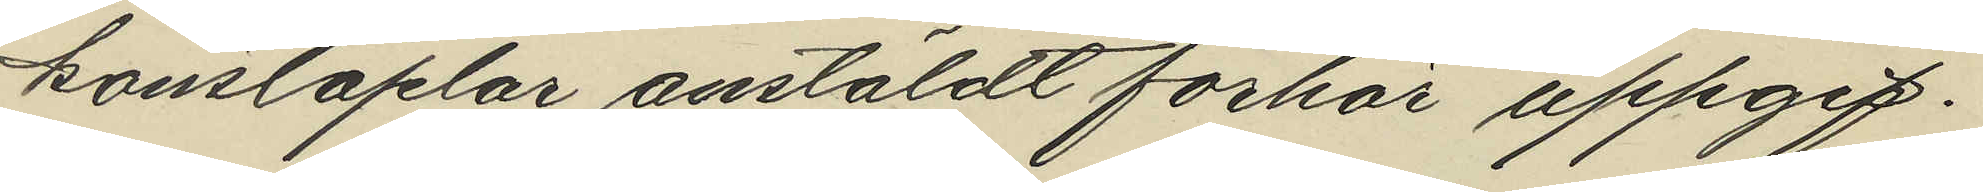konstaplar anstäldt förhör uppgif¬
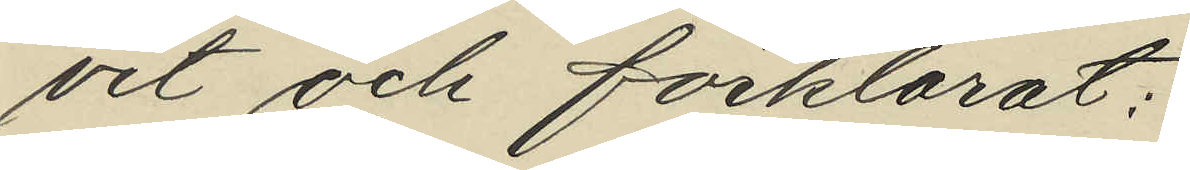vet och förklarat:
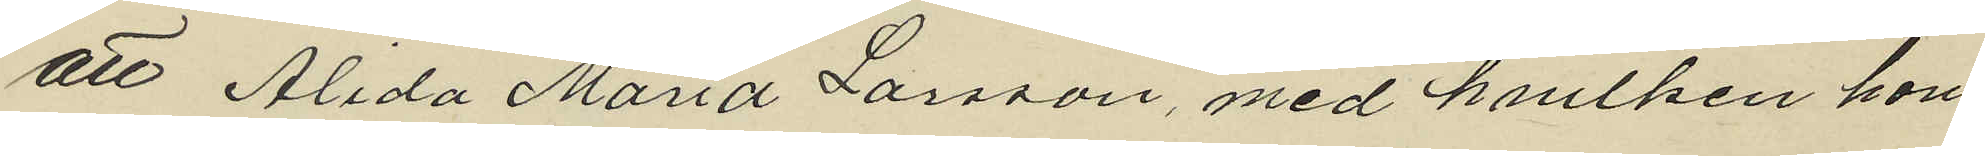att Alida Maria Larsson, med hvilken hon
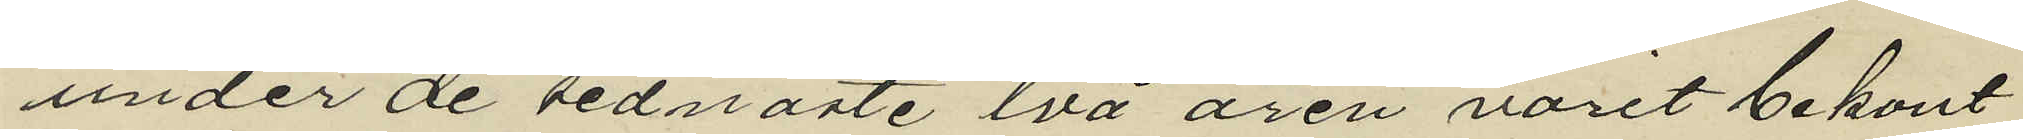under de sednaste två åren varit bekant
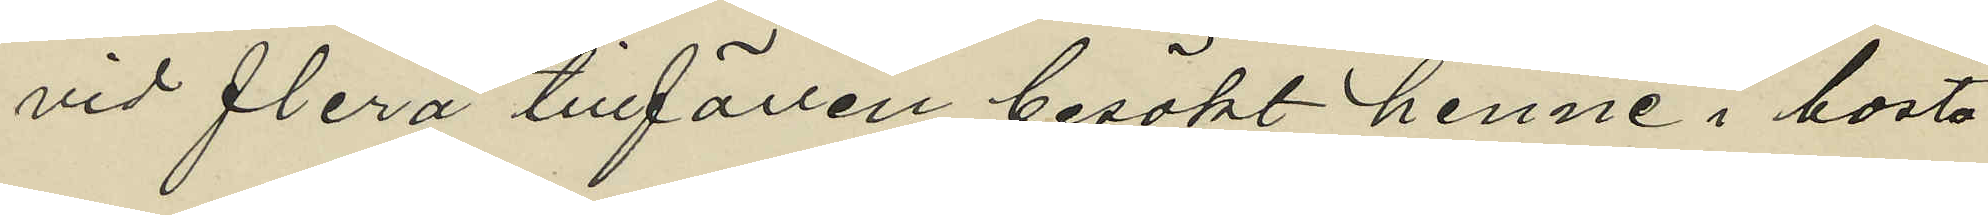vid flera tillfällen besökt henne i bosta¬
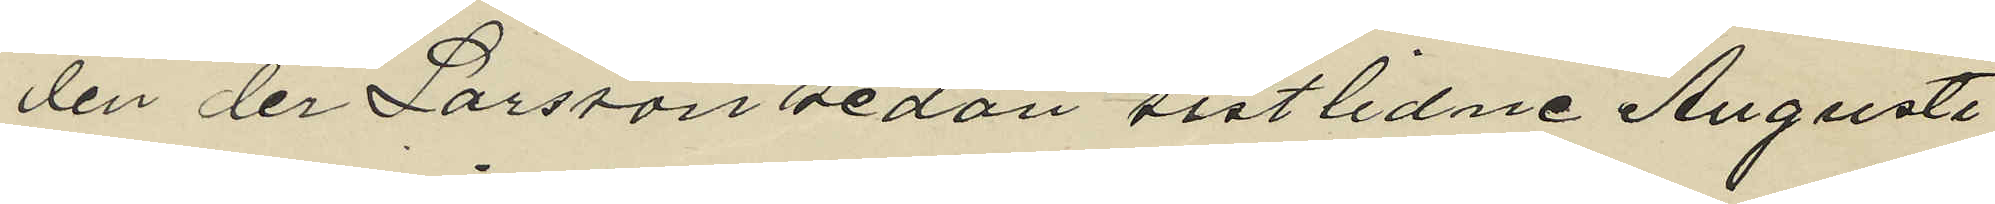den der Larsson sedan sistlidne Augusti
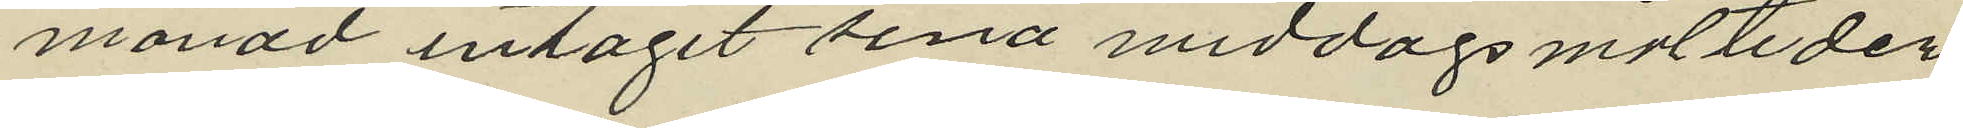månad intagit sina middagsmåltider
